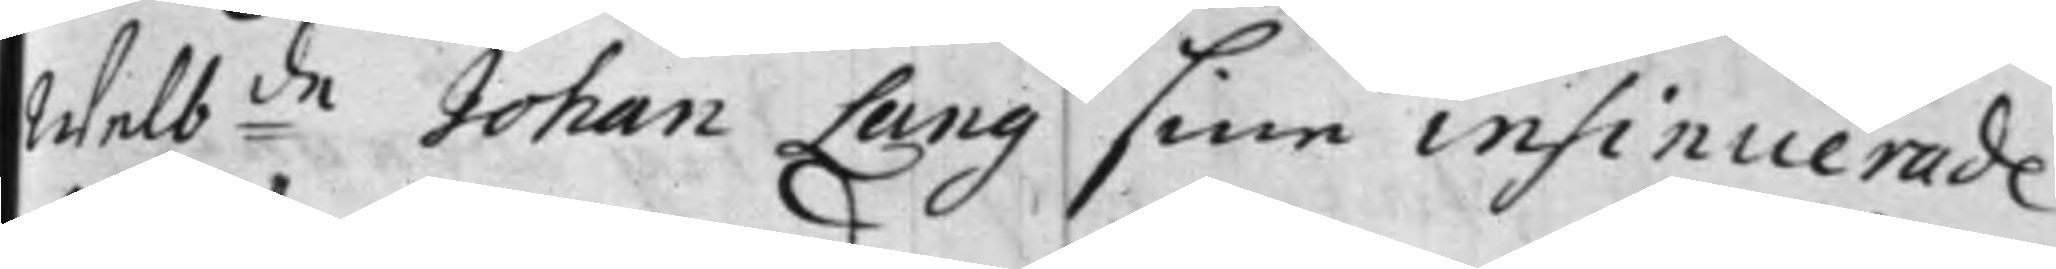Welbde Johan Lang sine insinuerade
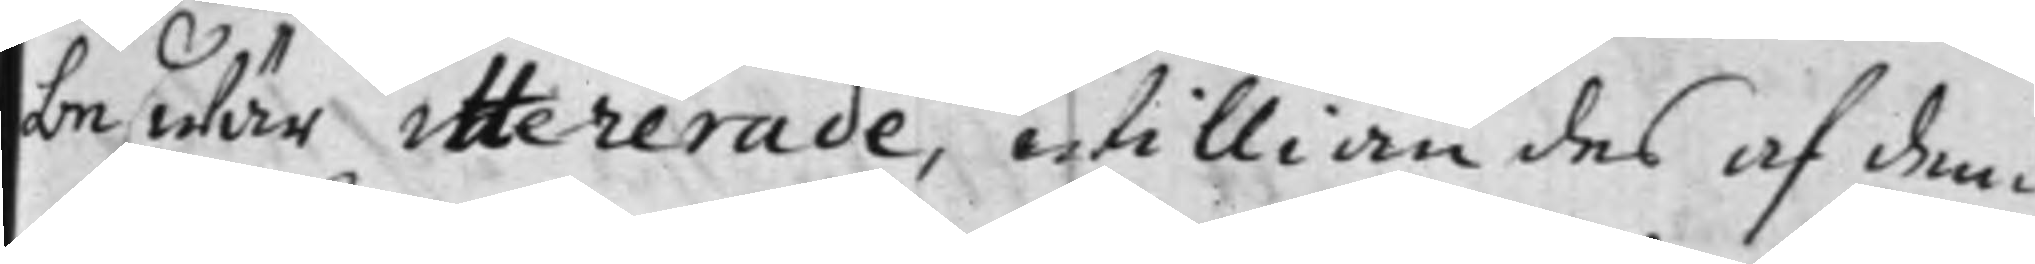beswär ittererade, Williandes af dem
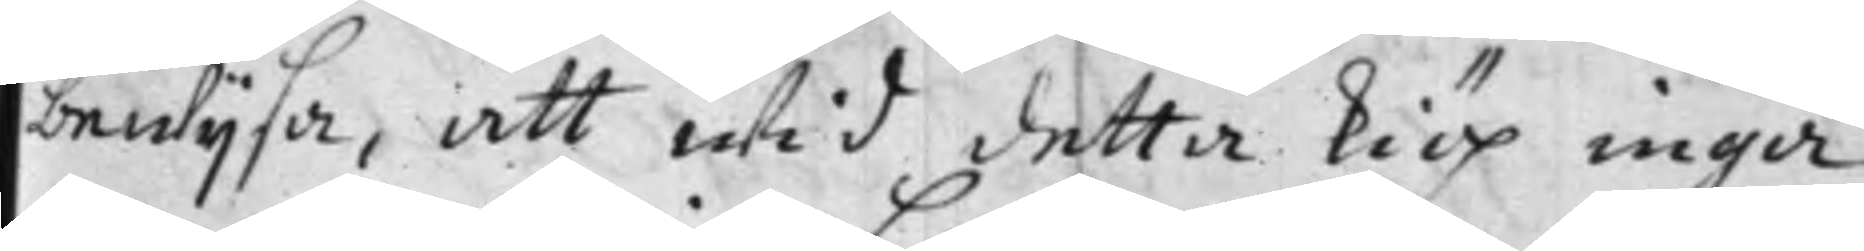bewijsa, att wid detta kiöp inga
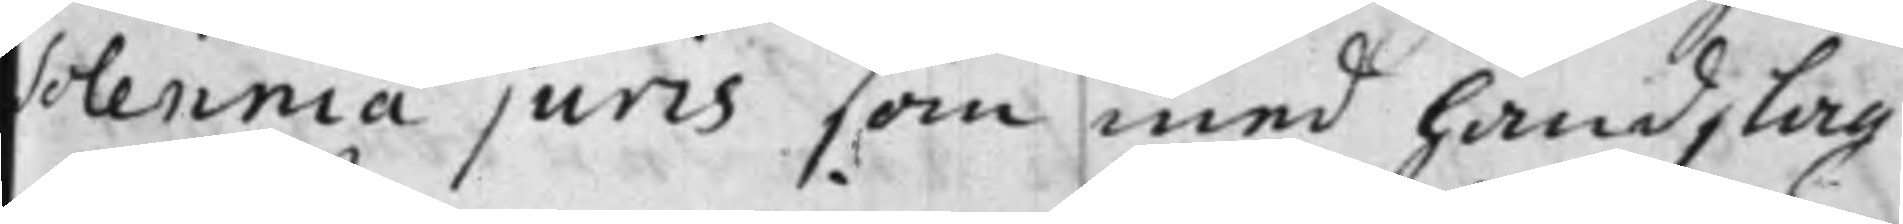Solennia juris som med handslag
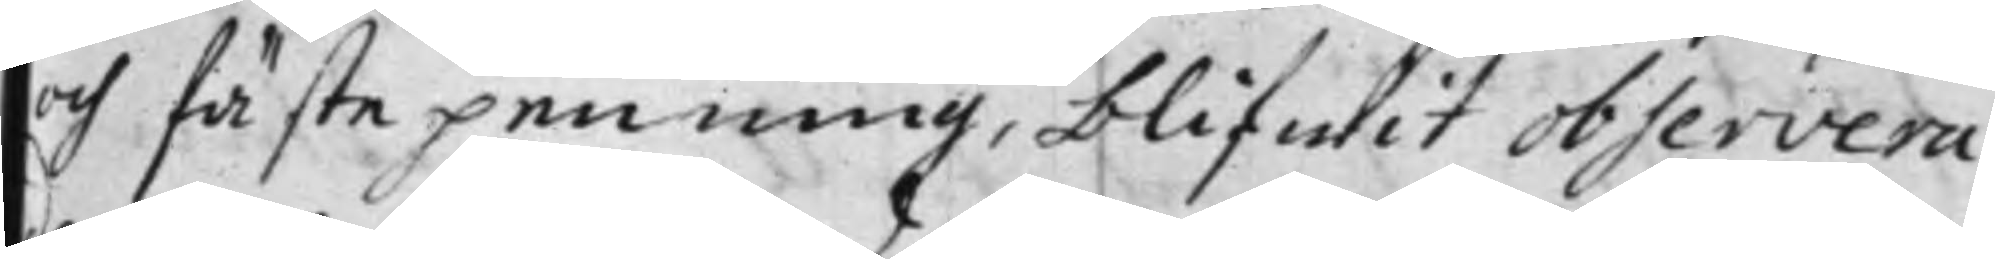och fästepenning, blifwit observera¬
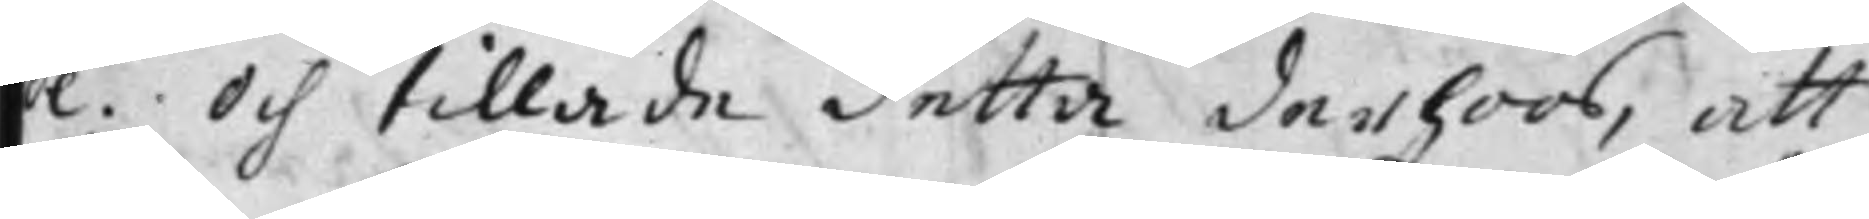de. Och tillade detta derhoos, att
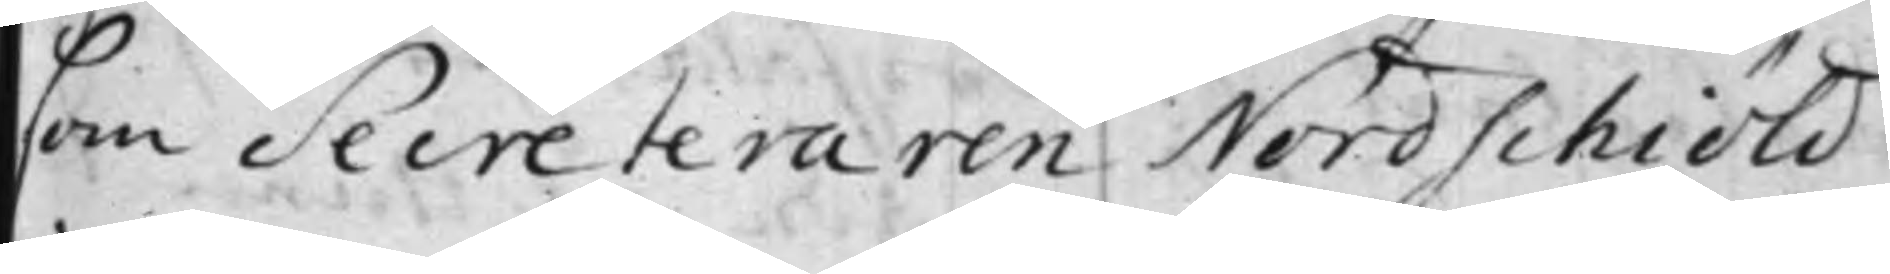som Secreteraren Nordschiöld
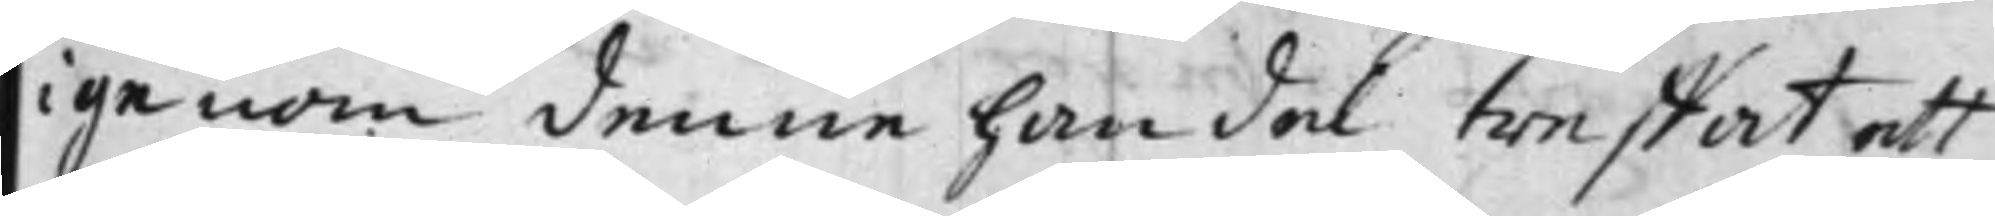igenom denna handel treffat att
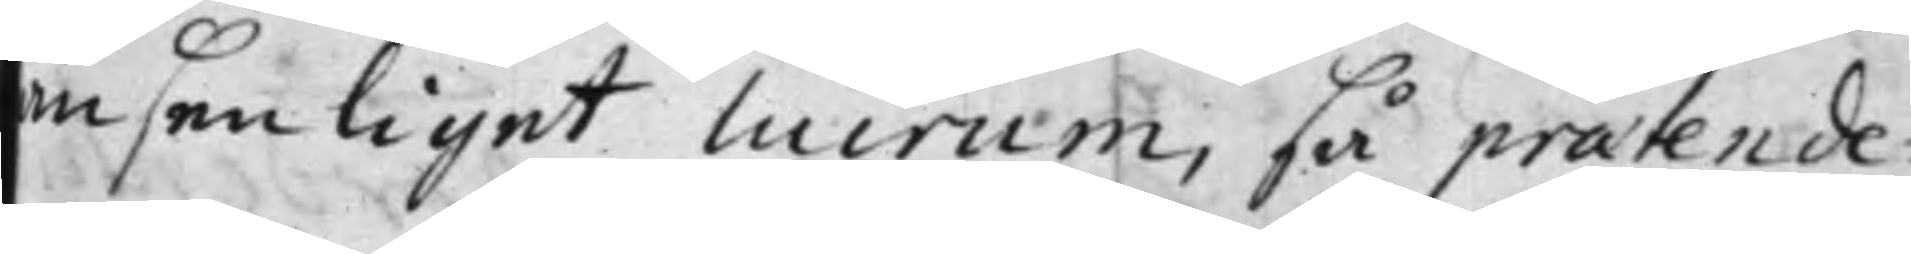ansenliget lucrum, så praetende¬
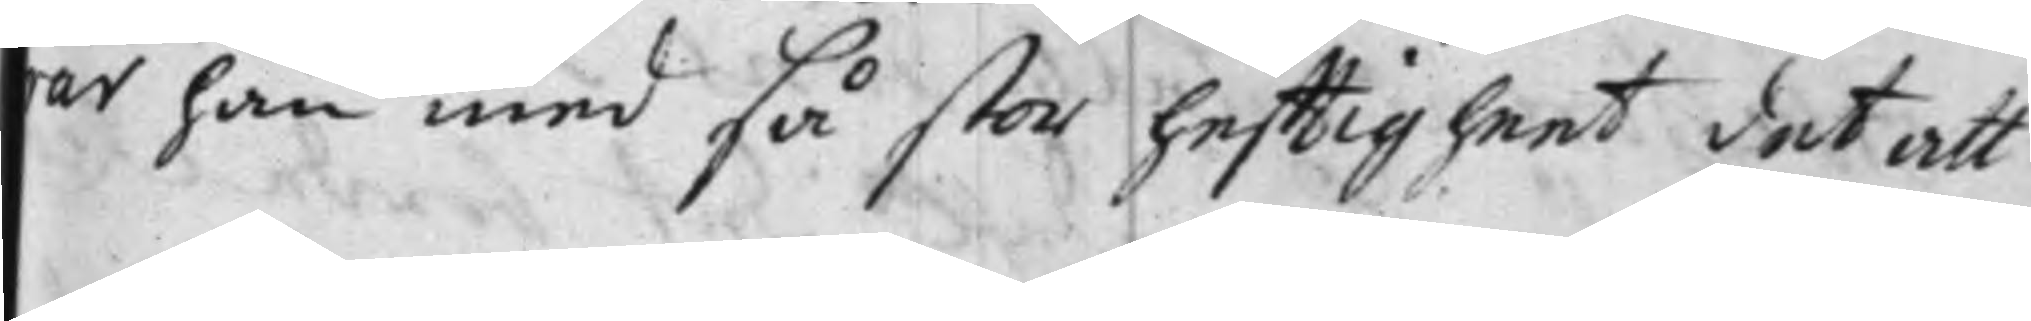rar han med så stor hefftigheet det att
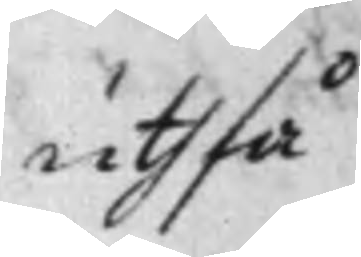uthfå
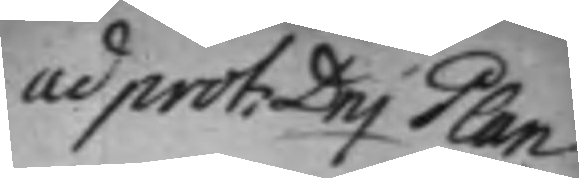ad prot: Dnj Plan
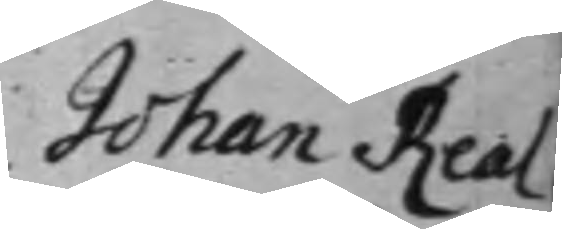Johan Real
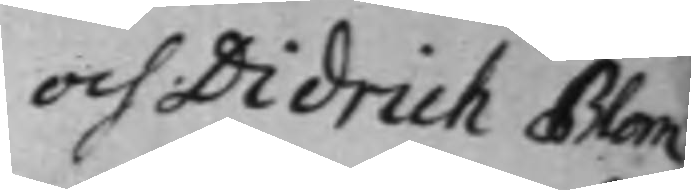och Didrich Blom
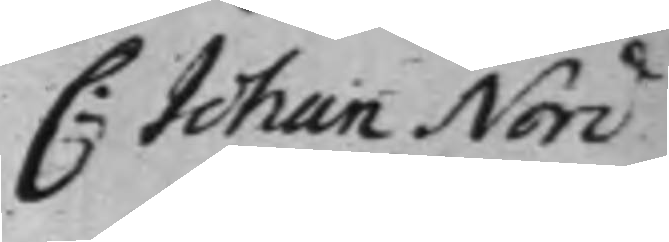C: Johan Nord
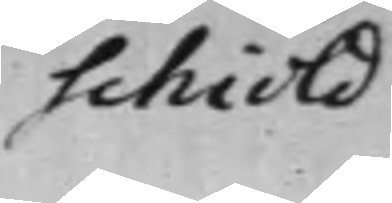schiöld
